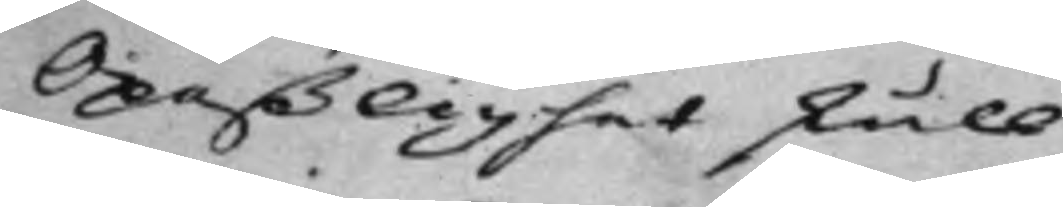Opaßlighet skull.
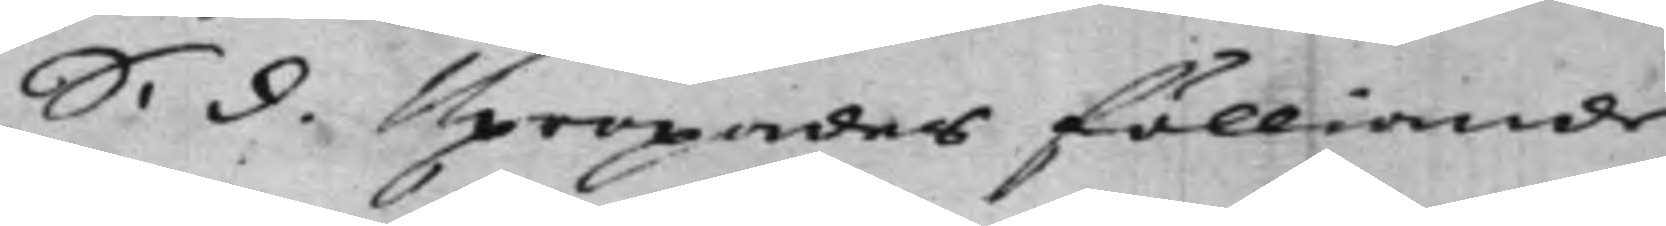S: d. Upropades fölliande
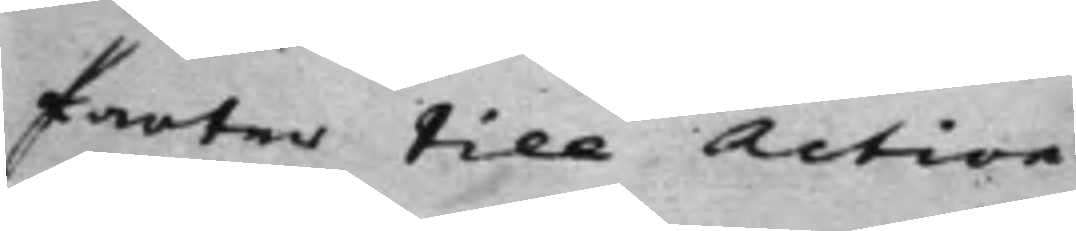Parter till Action:
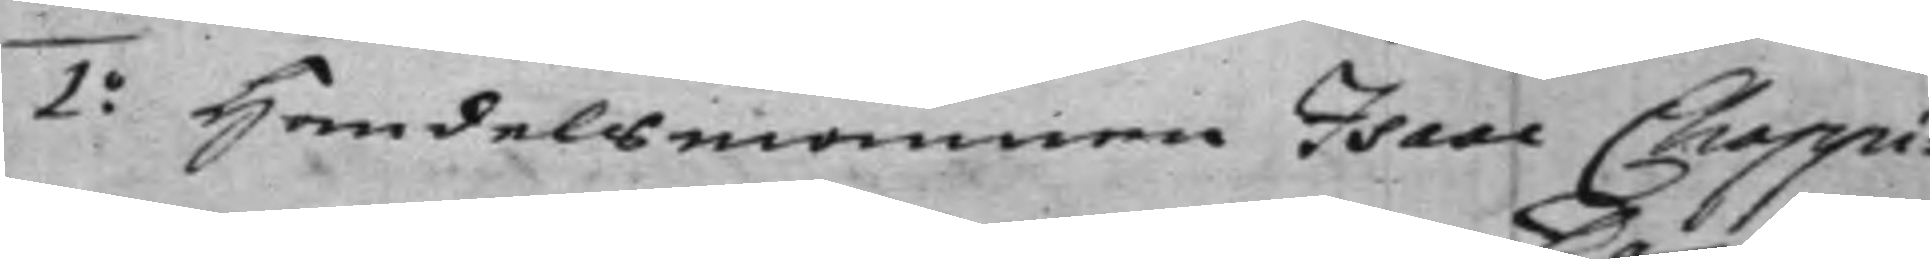1.o Handelsmannen Isaac Choppi¬
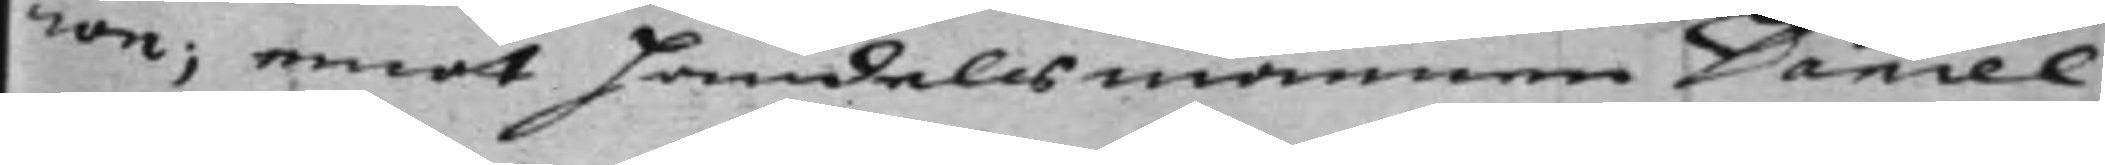ron; emot handelsmannen Daniel
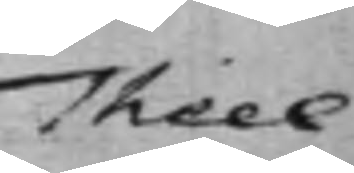Theel
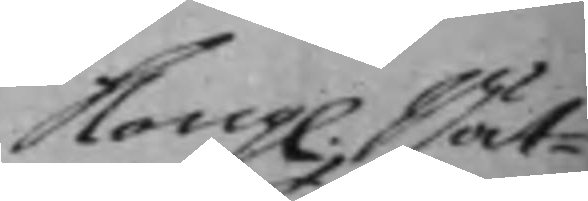Kong: Rät¬
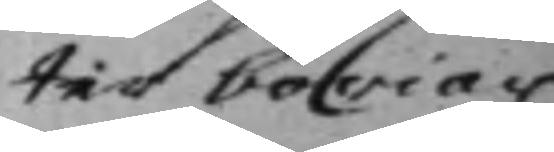ten böriar
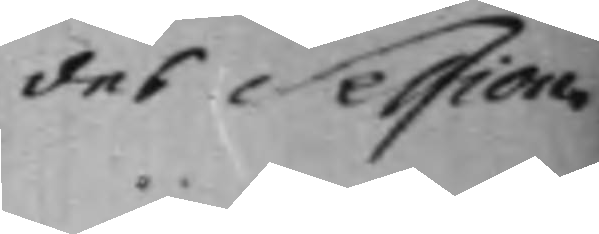des Session.
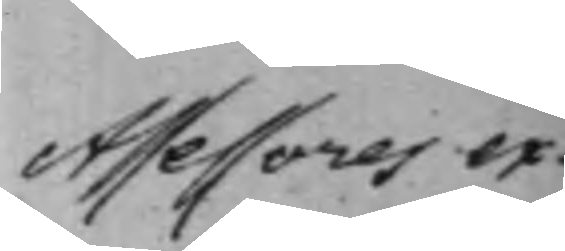Assessores ex¬
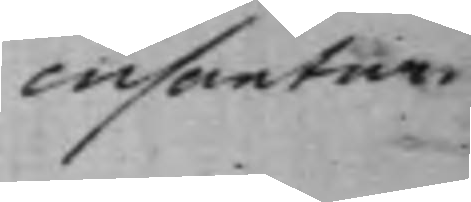cusanter.
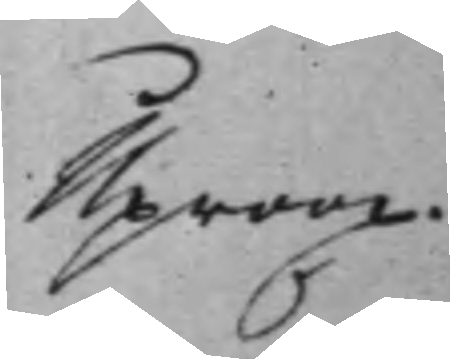Uproop.
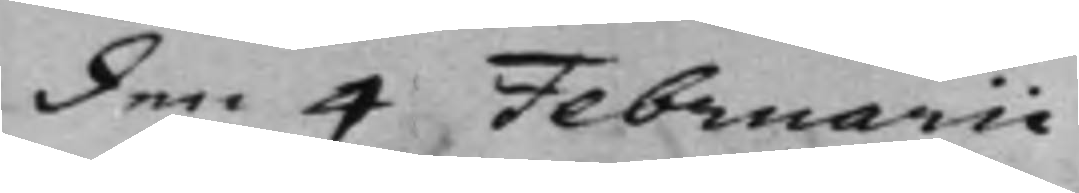den 4 Februarii
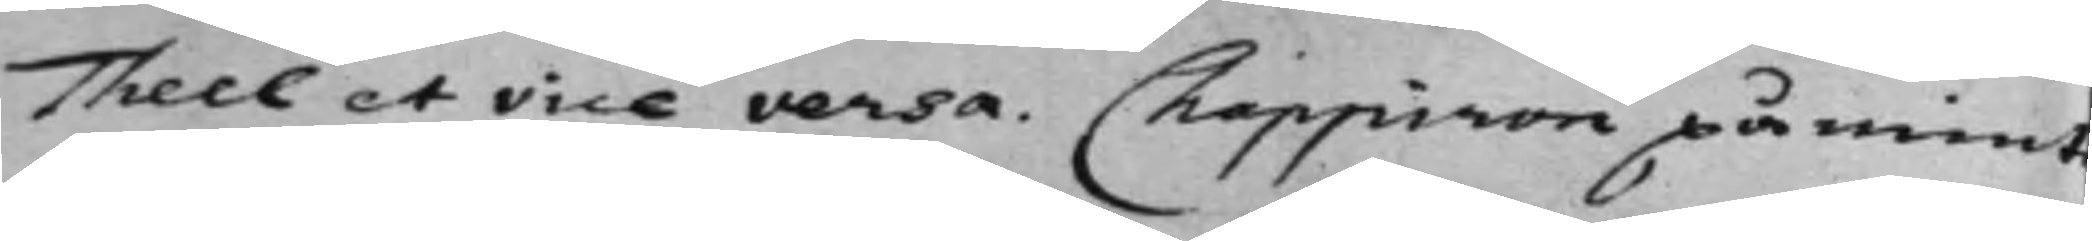Theel et vice versa. Chappiron påmint
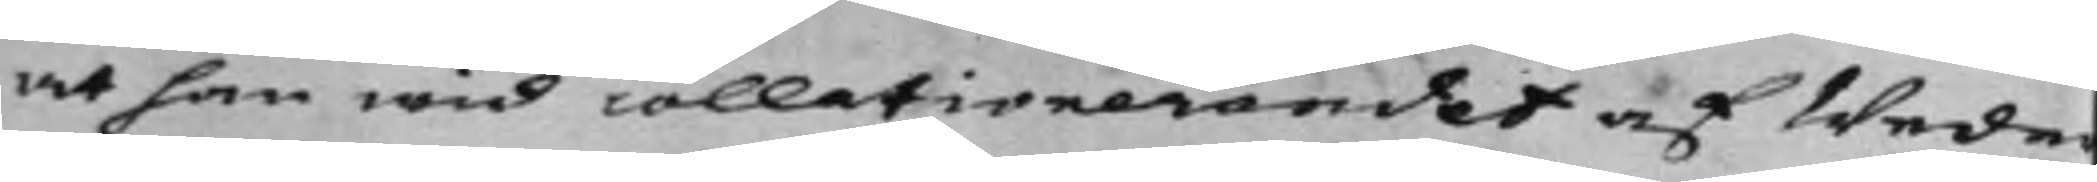at han wid collationerandet af Wede¬
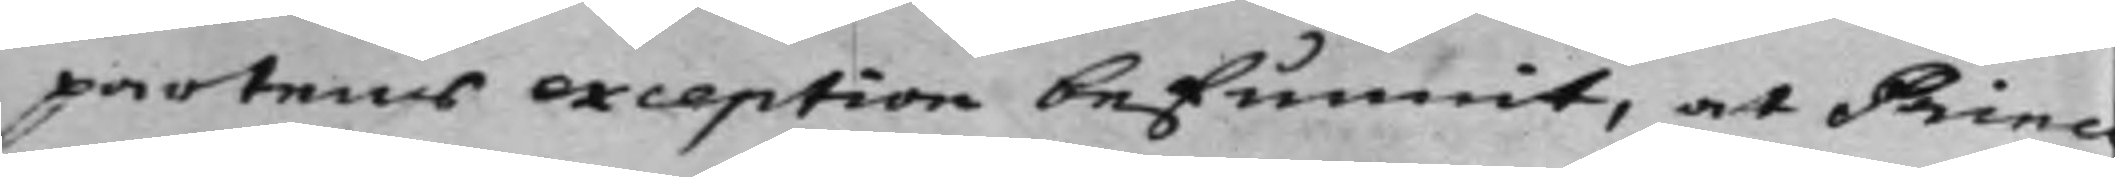partens exception befunnit, at Princ¬
